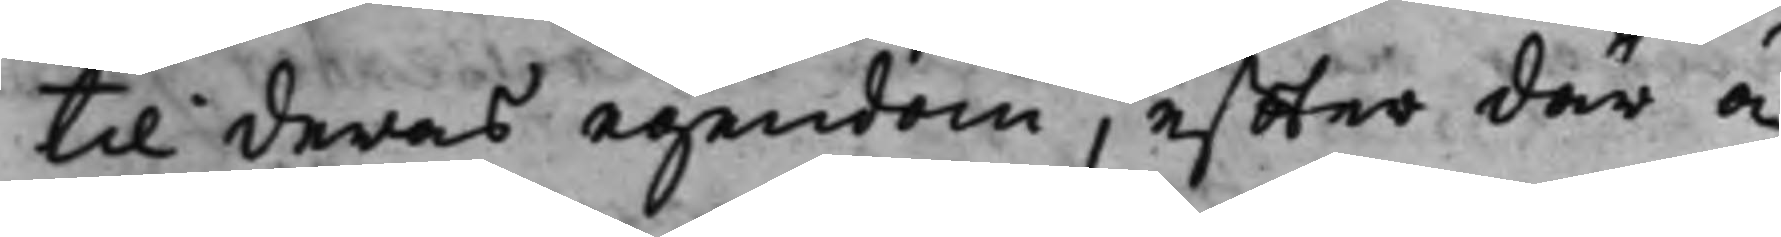till deras egendom, effter där å¬
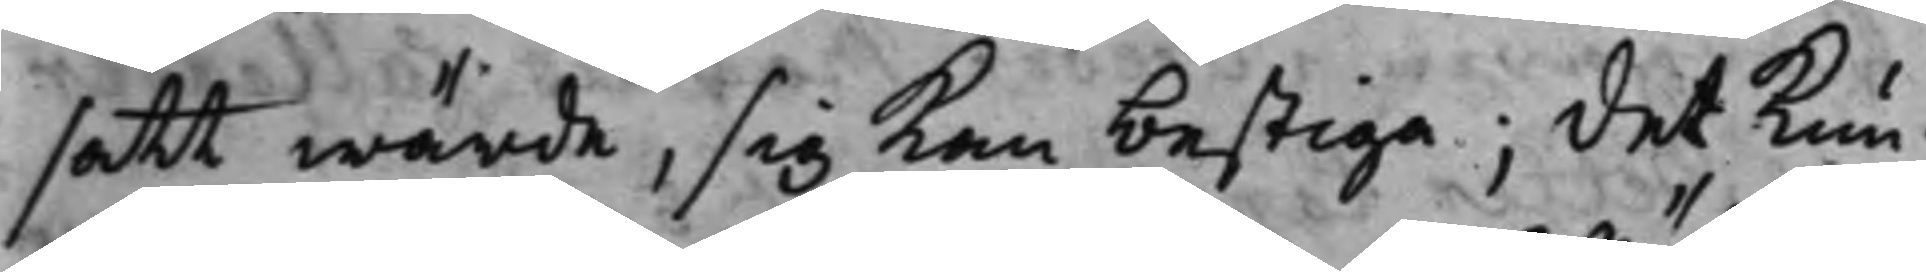satt wärde, sig kan bestiga; det kun¬
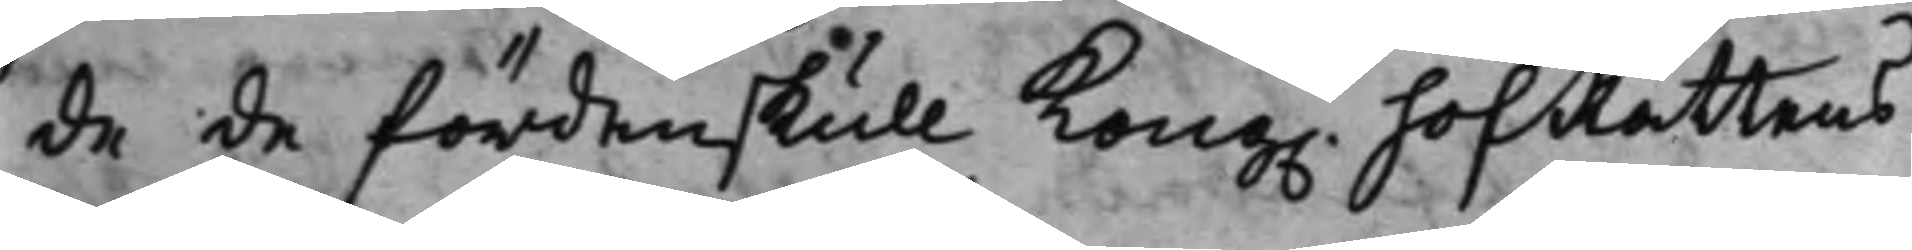de de fördenskull Kong. HofRättens
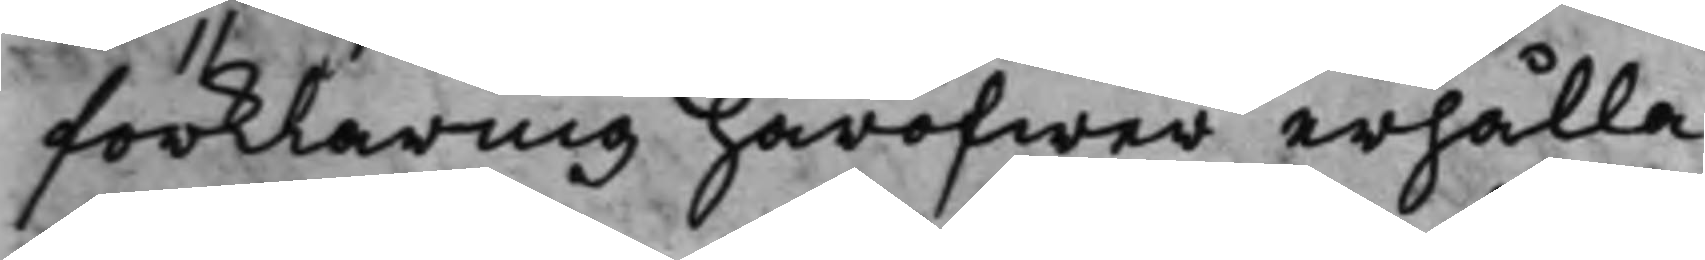förklaring häröfwer erhålla.
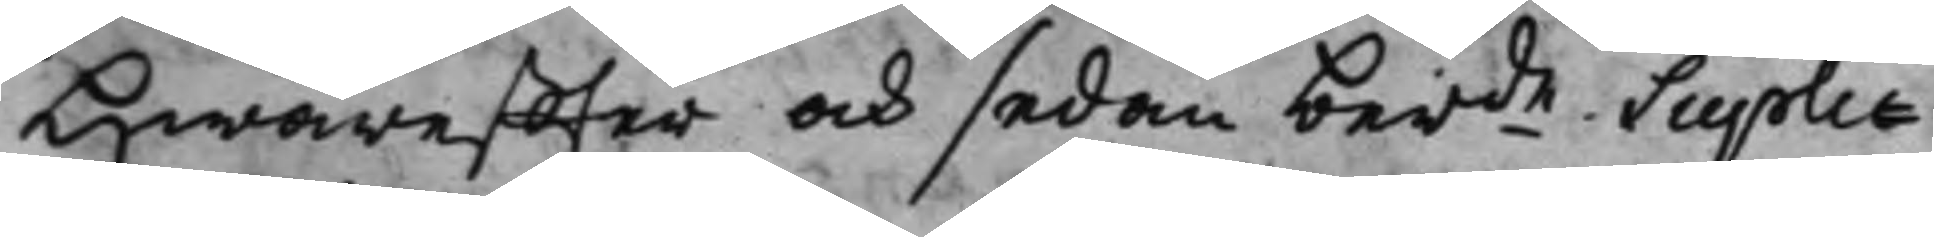Hwareffter och sedan berde Supli¬
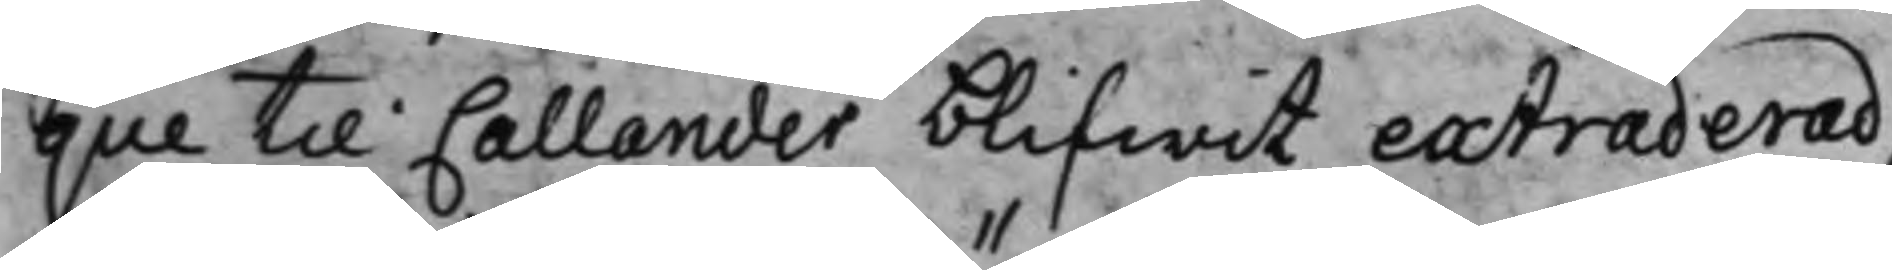que till Callander blifwit extraderad,
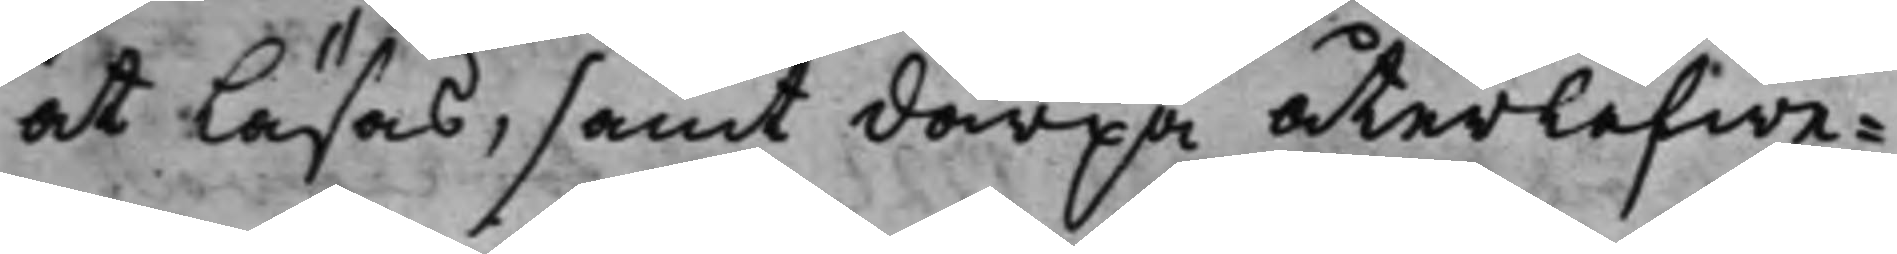at läsas, samt därpå återlefwe¬
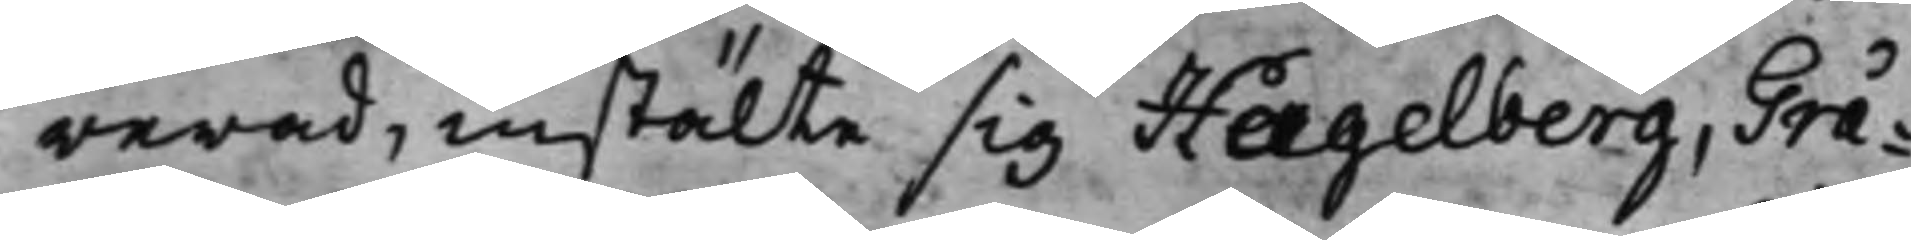rerad, instälte sig Hagelberg, Grå¬
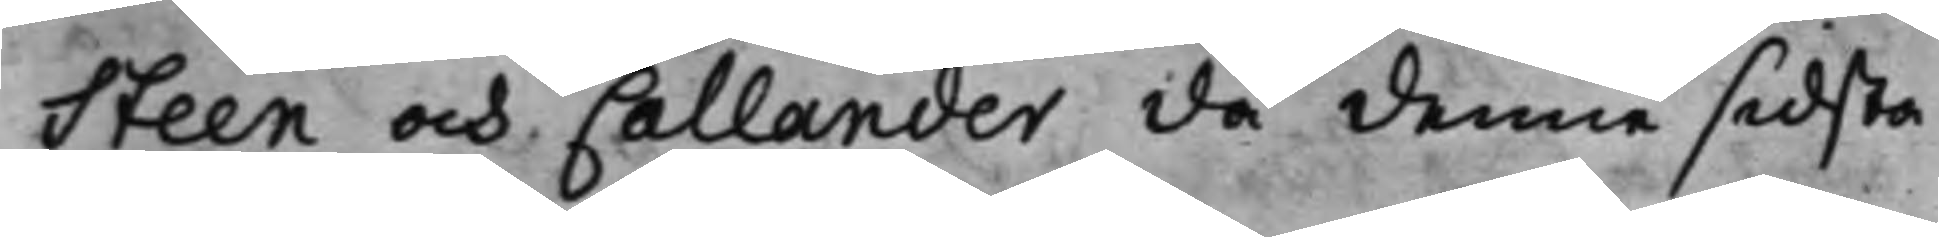Steen och Callander då denne sidsta
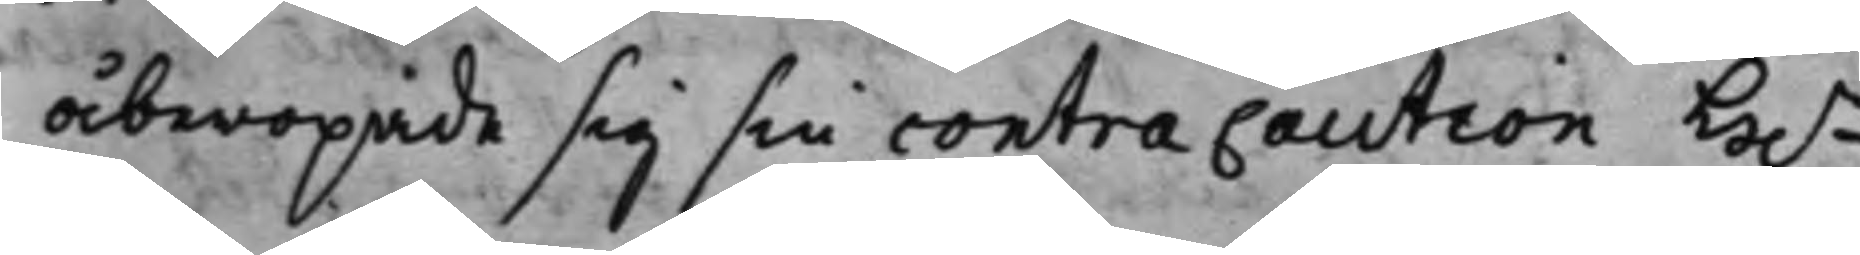åberopade sig sin contracaution H.r
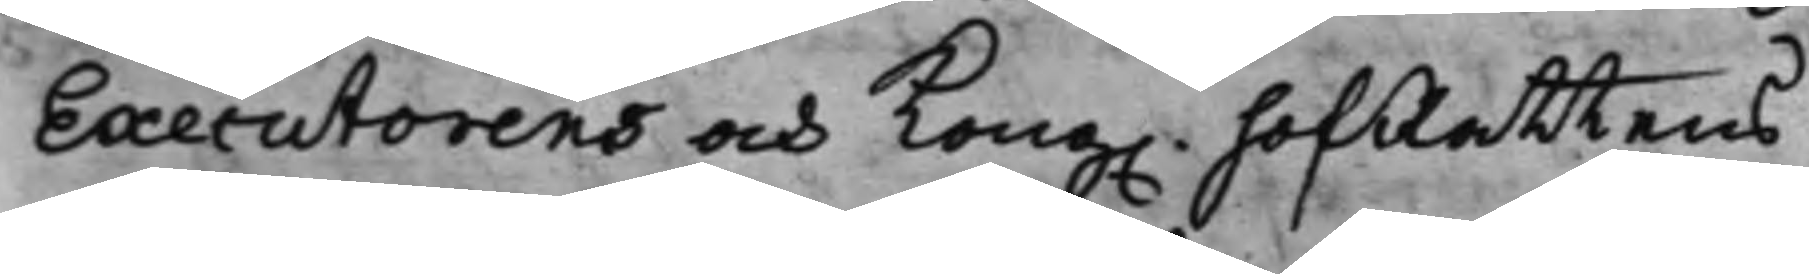Executorens och Kong. hofRattens
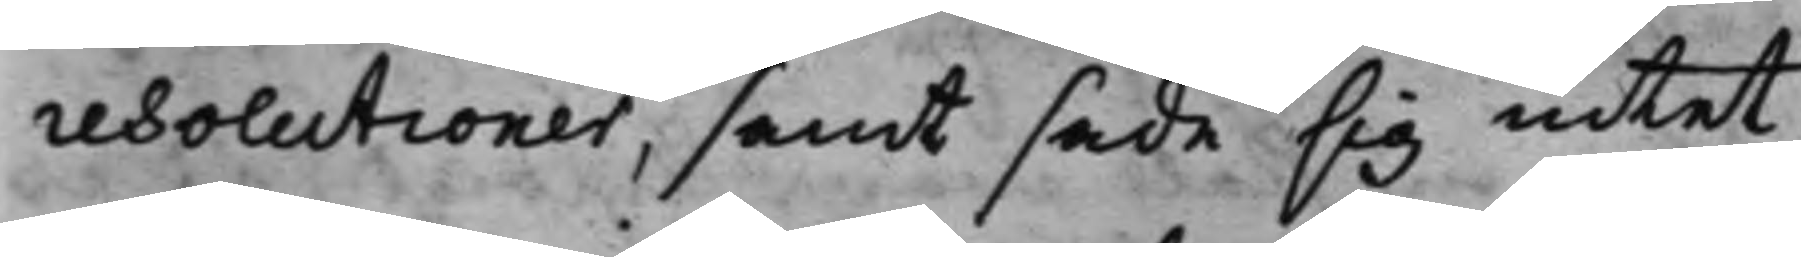resolutioner, samt sade sig intet
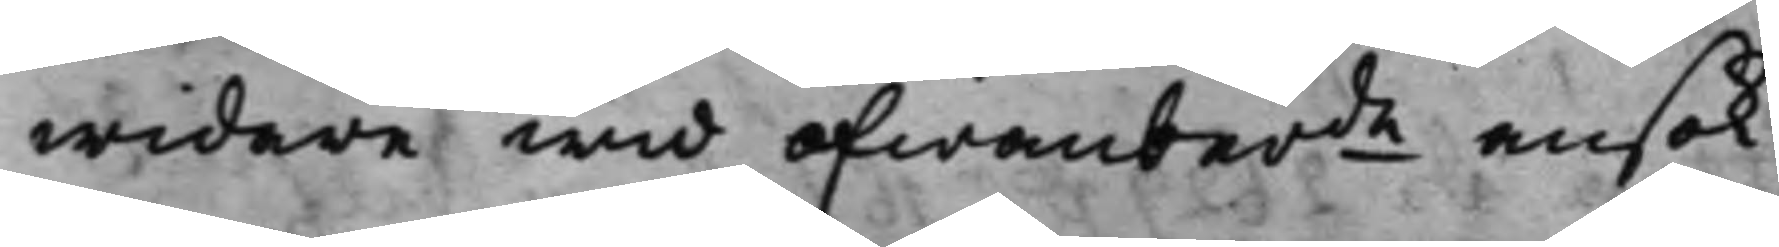widare wid ofwanberde ansök¬
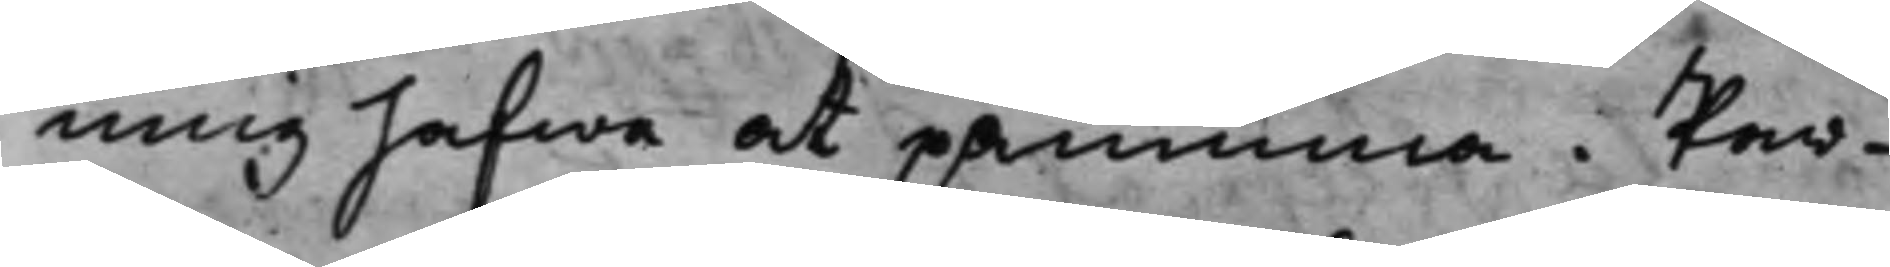ning hafwa at påminna. Par¬
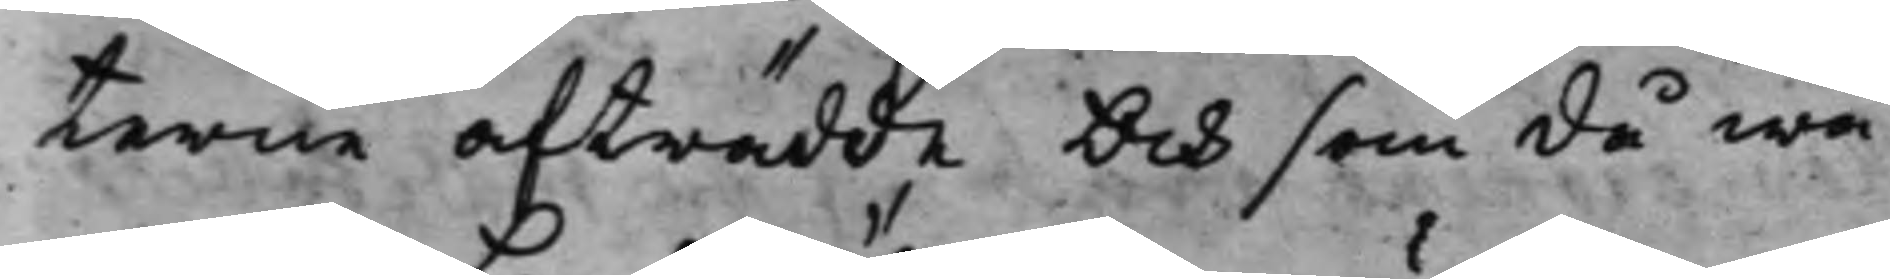terne afträdde Och som då wa¬
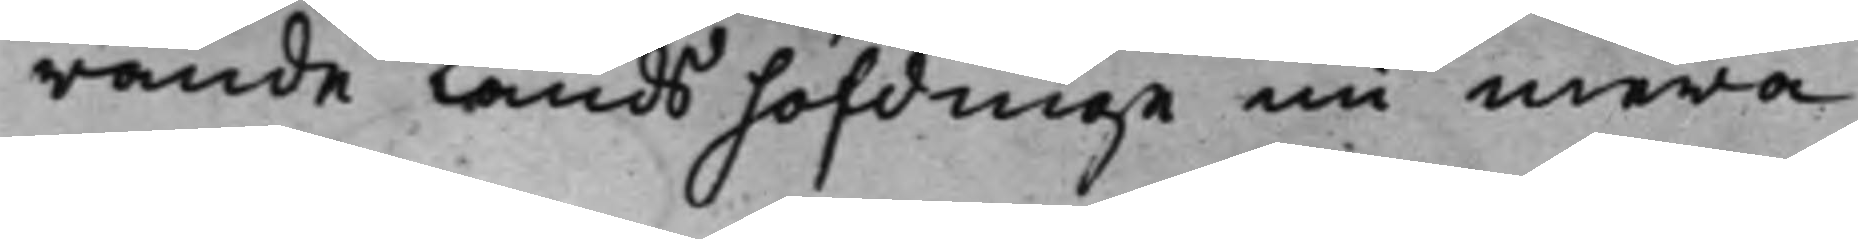rande Landshöfdinge nu mera
